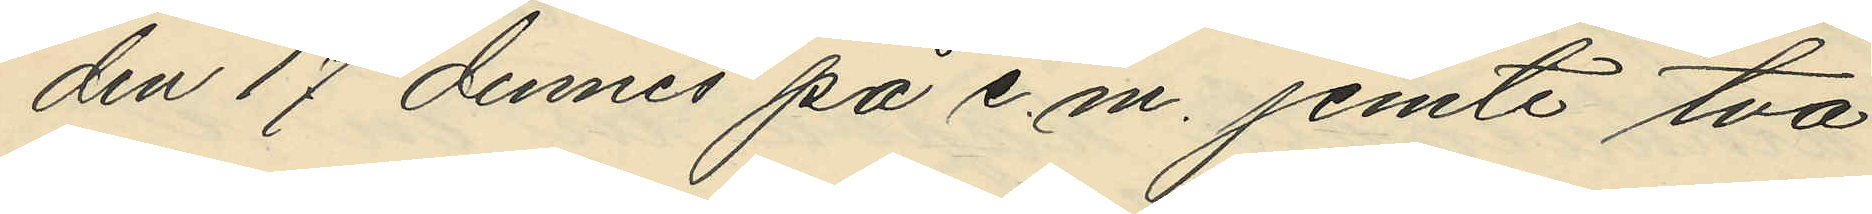den 17 dennes på e. m. jemte två
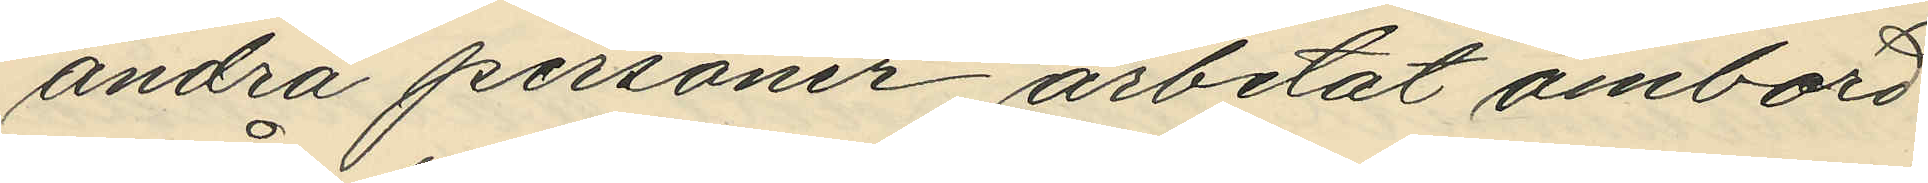andra personer arbetat ombord
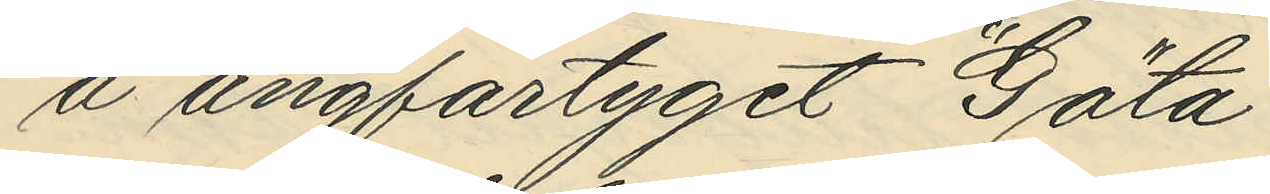å ångfartyget "Göta"
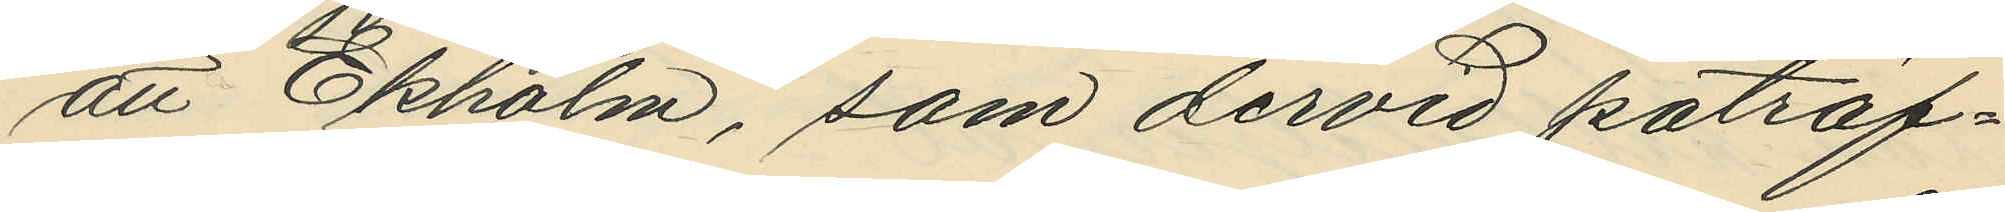att Ekholm, som dervid paträf¬
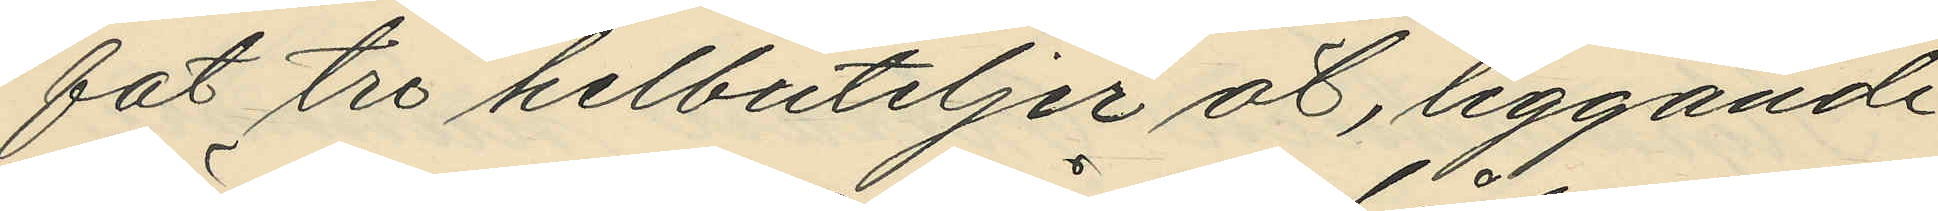fat tre helbuteljer öl, liggande
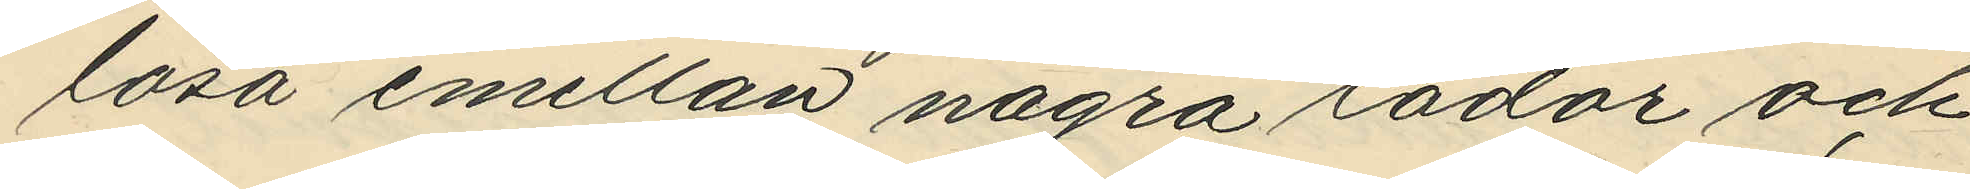lösa emellan några lådor och
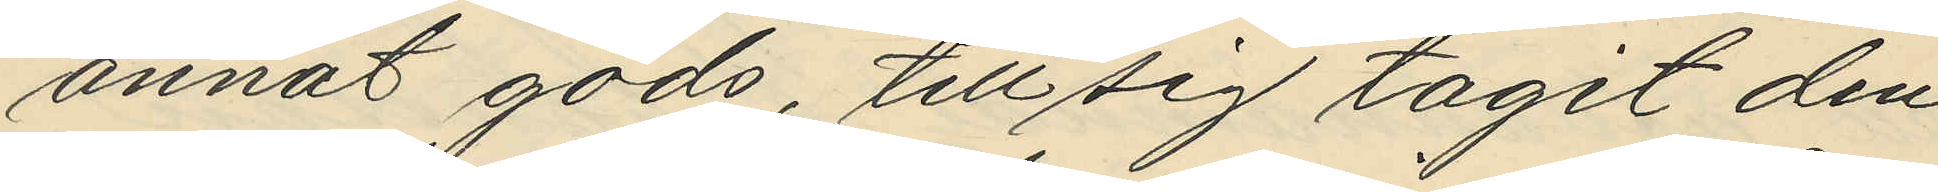annat gods, till sig tagit den
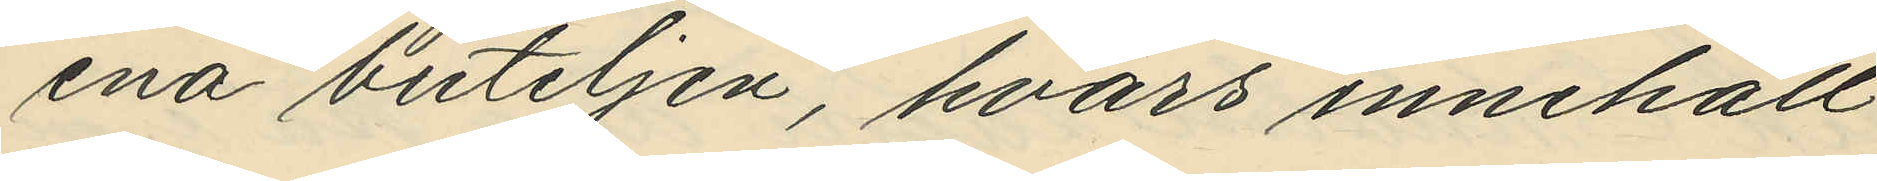ena buteljen, hvars innehåll
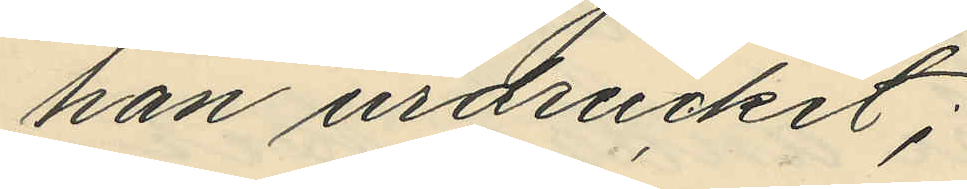han urdruckit;
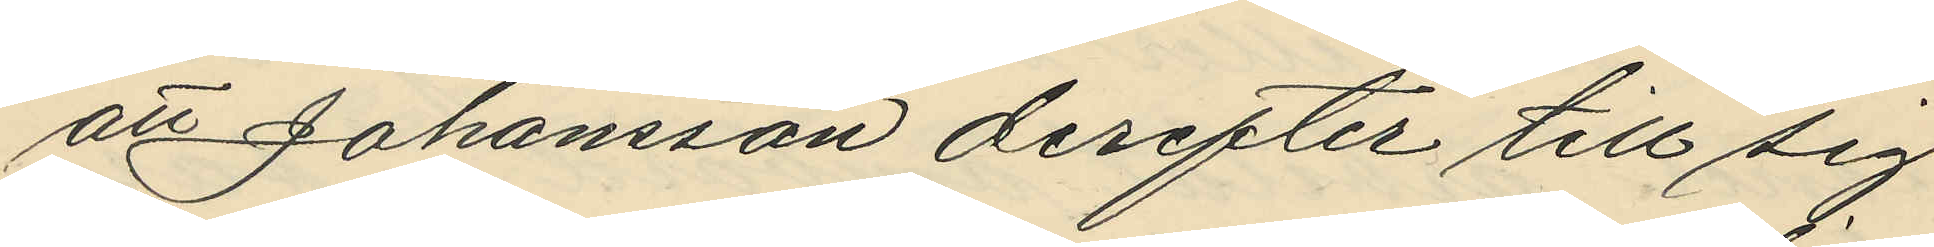att Johansson derefter till sig
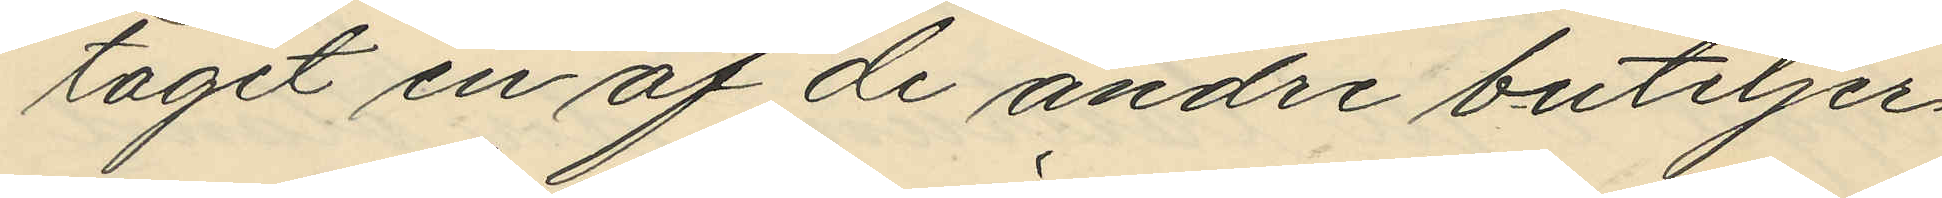tagit en af de andre buteljer¬
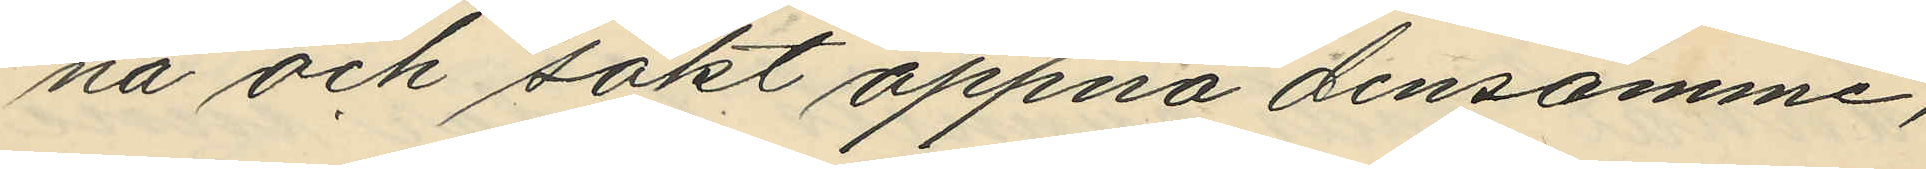na och sökt öppna densamme,
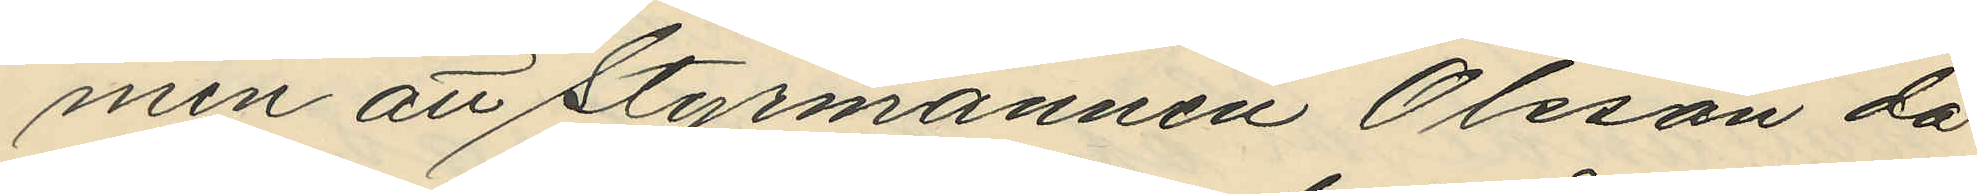men att styrmannen Olsson då
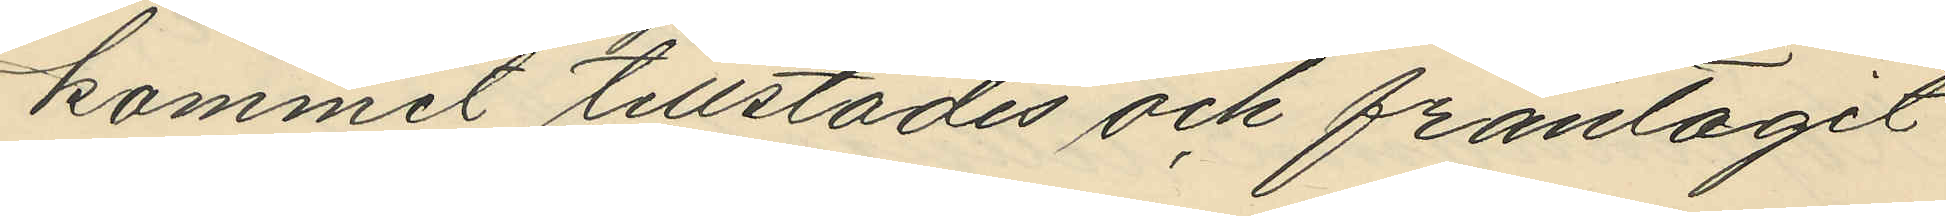kommit tillstädes och fråntagit
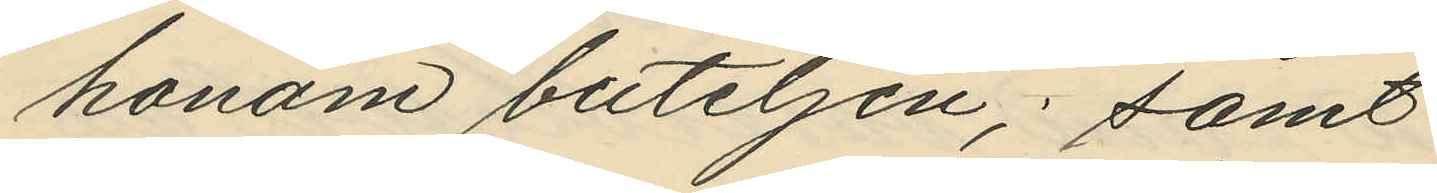honom buteljen; samt
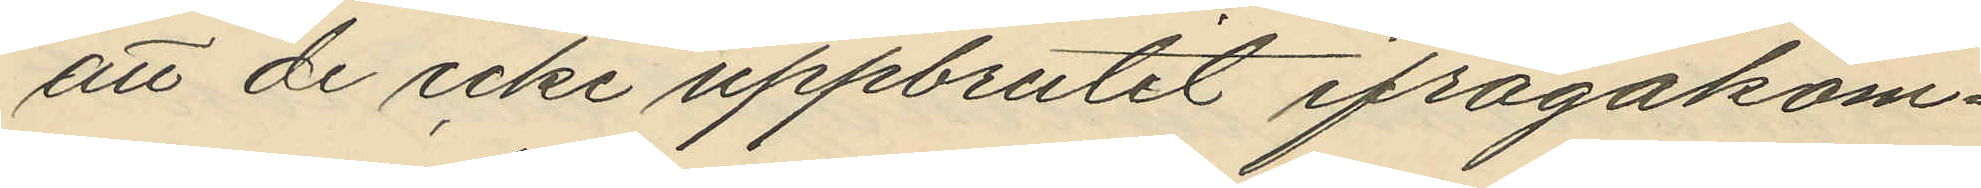att de icke uppbrutit ifrågakom¬
